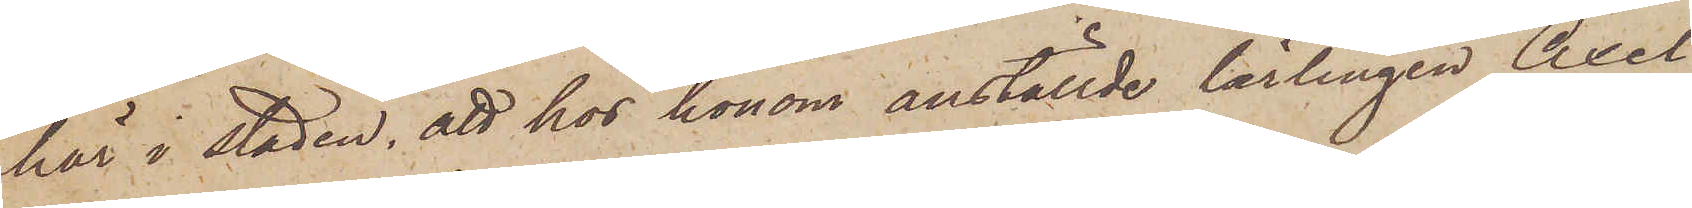här i staden, att hos honom anställde lärlingen Axel
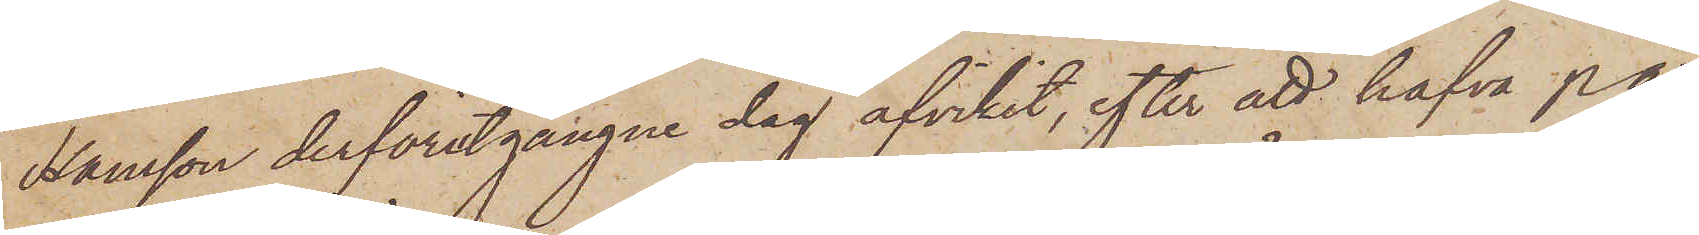Hansson derförutgångne dag afvikit, efter att hafva på
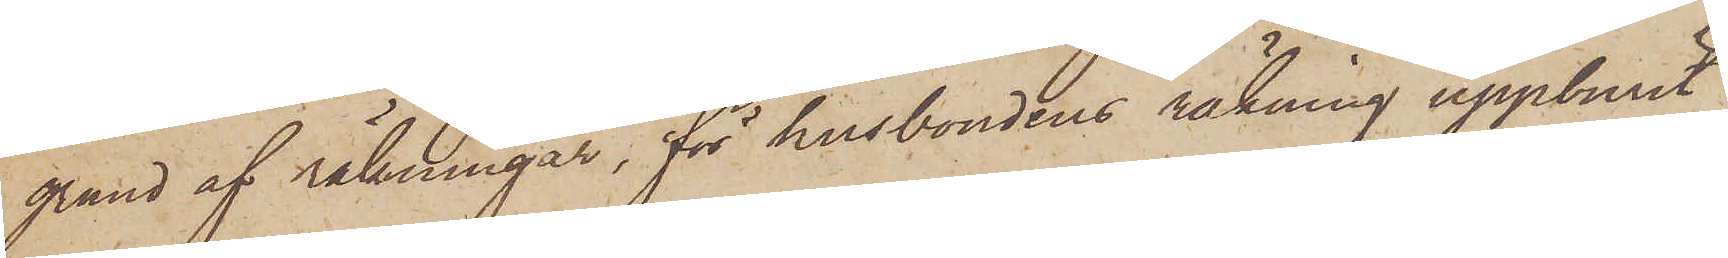grund af räkningar, för husbondens räkning uppburit
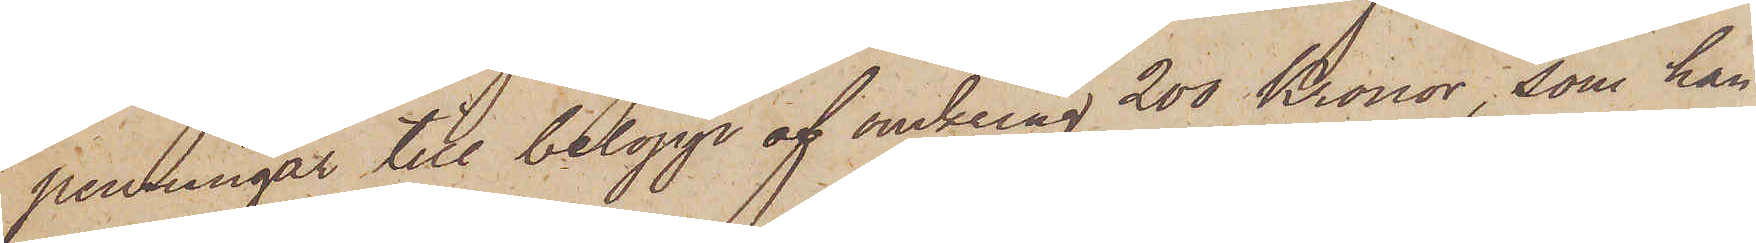penningar till belopp af omkring 200 Kronor, som han
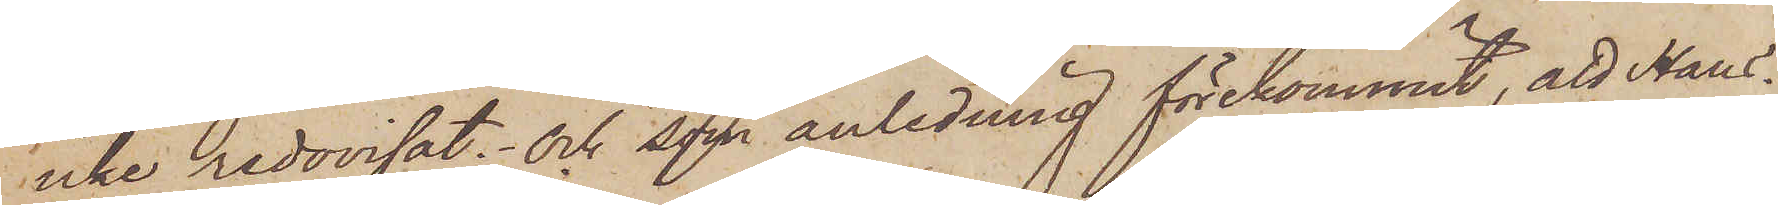icke redovisat; och som anledning förekommit, att Hans¬
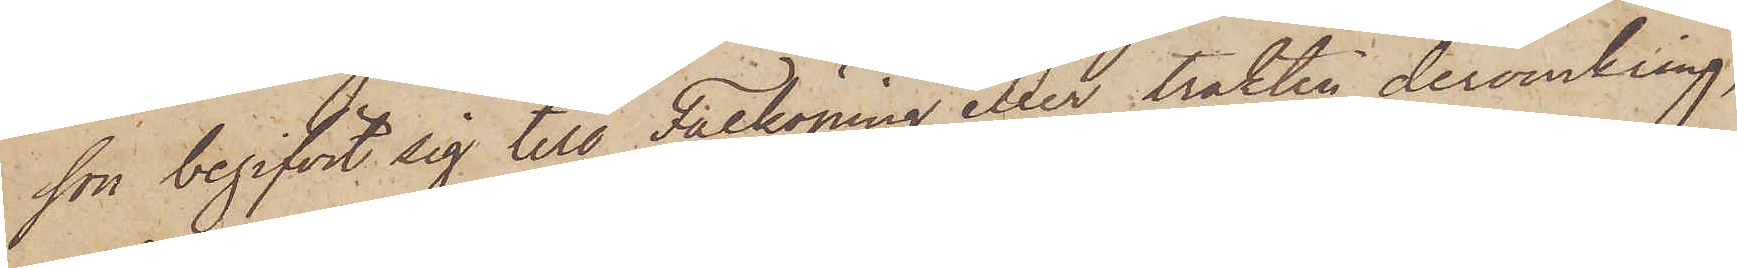sson begifvit sig till Falköping eller trakten deromkring,
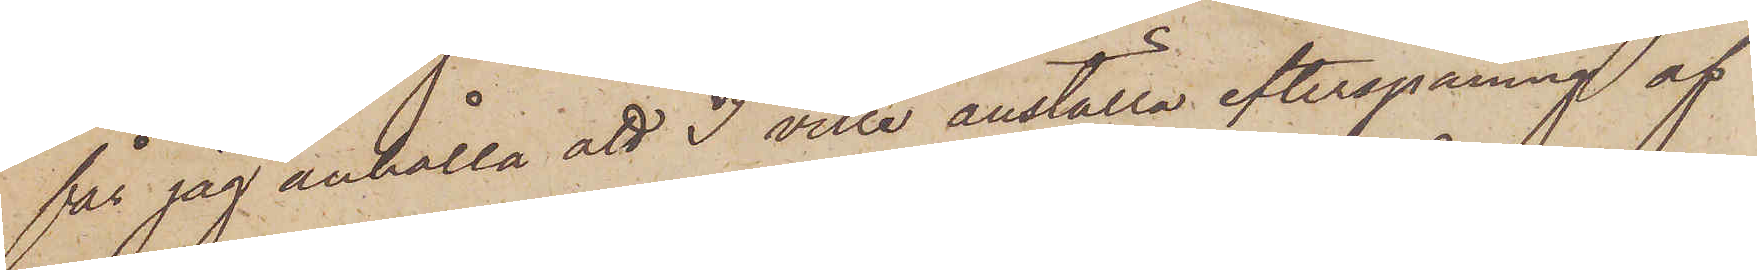får jag anhålla att I ville anställa efterspaning af
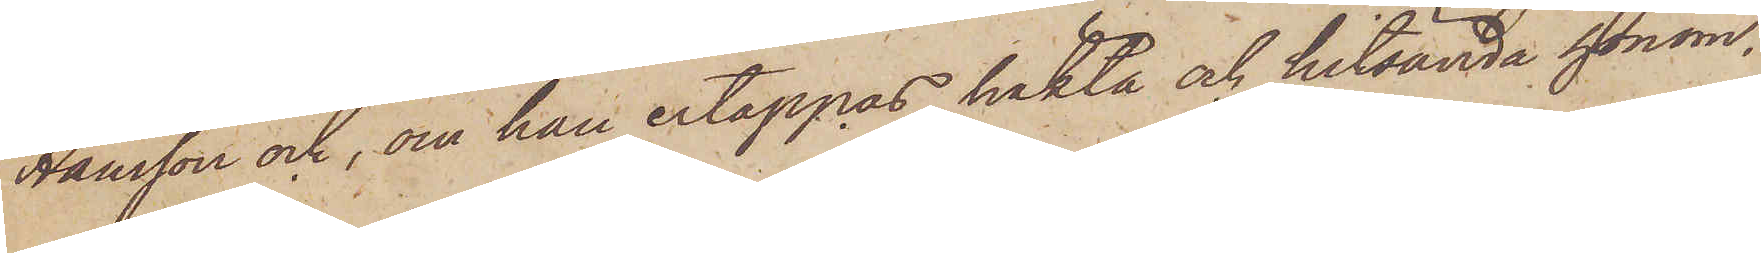Hansson och, om han ertappas, häkta och hitsända honom.
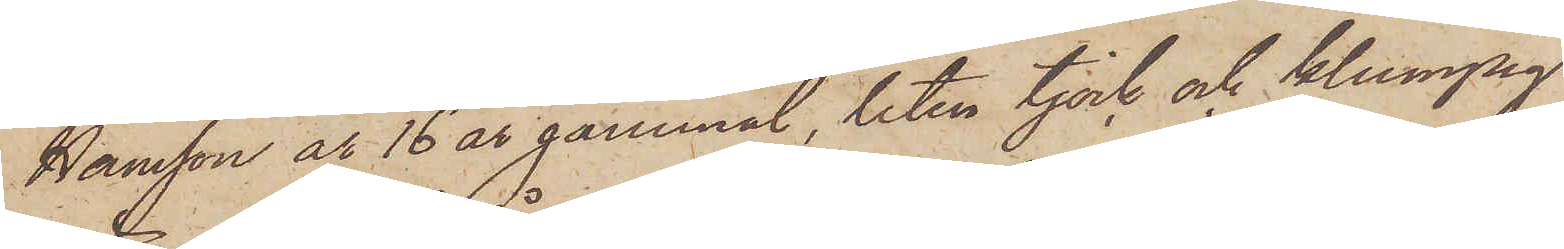Hansson år 16 år gammal, liten tjock och klumpig
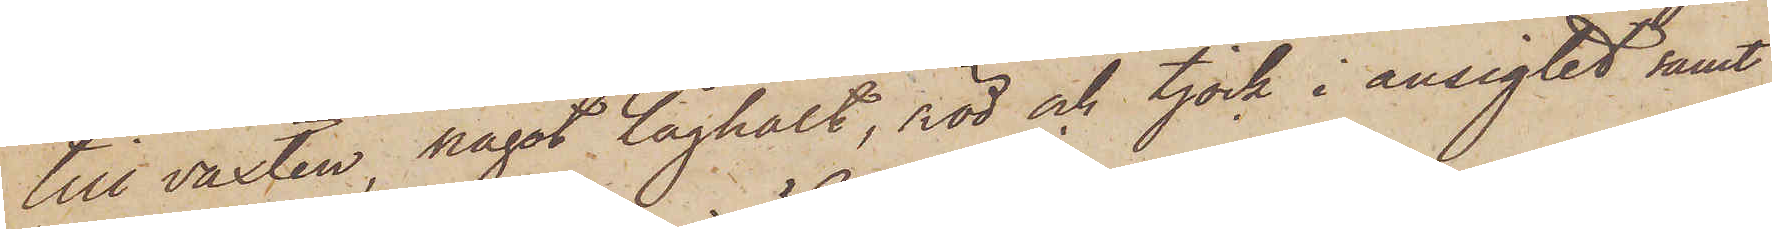till växten, något låghalt, röd och tjock i ansigtet samt
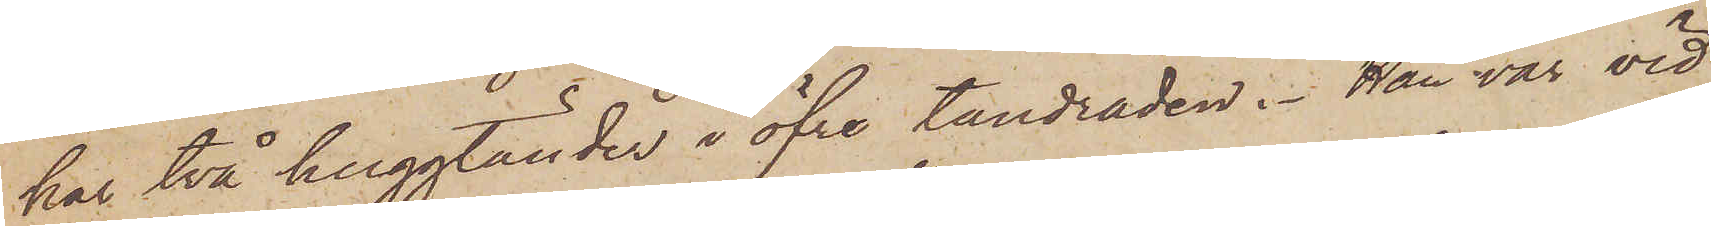har två huggtänder i öfre tandraden. Han var vid
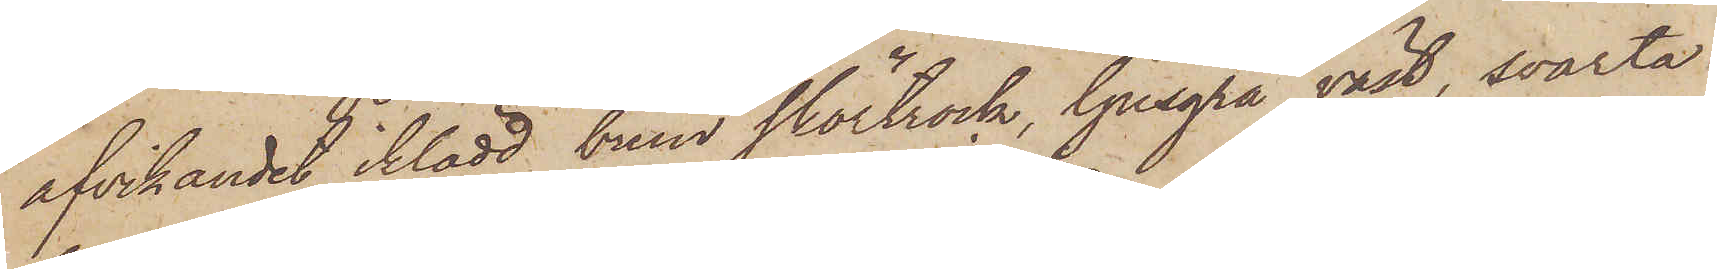afvikandet iklädd brun skörtrock, ljusgrå väst, svarta
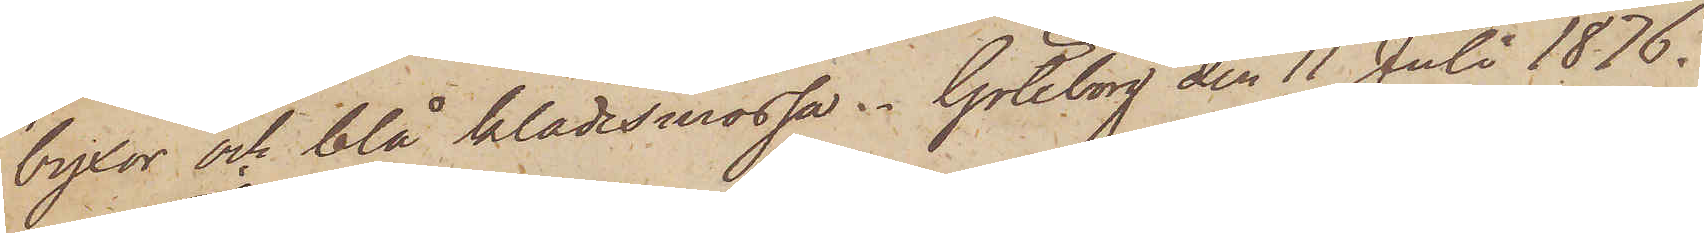byxor och blå klädesmössa. Göteborg den 11 Juli 1876.
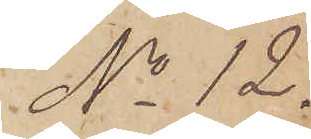No 12.
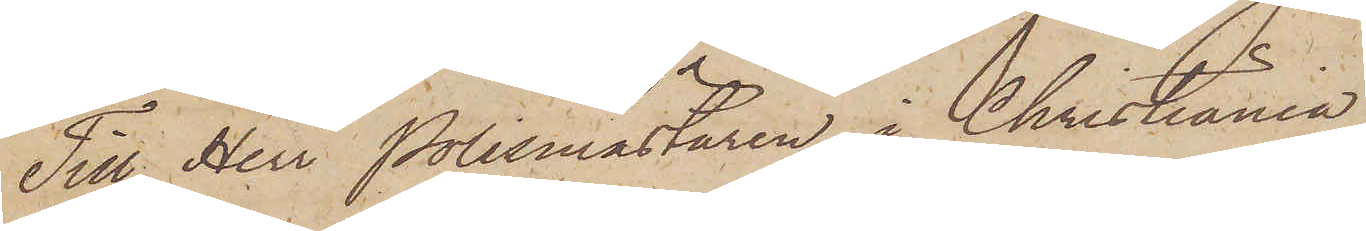Till Herr Polismästaren i Christiania.
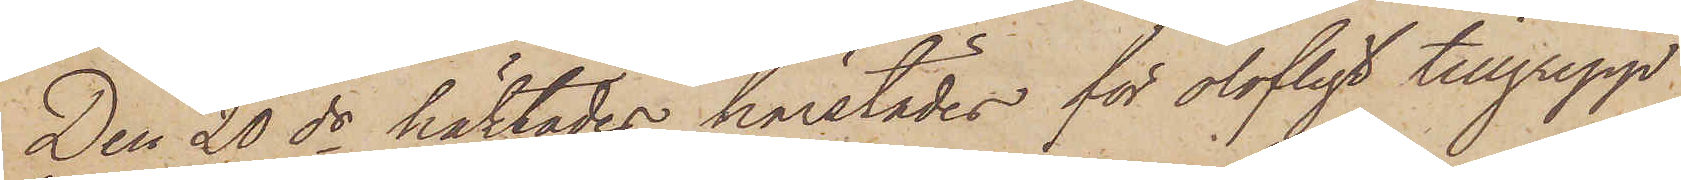Den 20 ds häktades härstädes för olofligt tillgrepp
